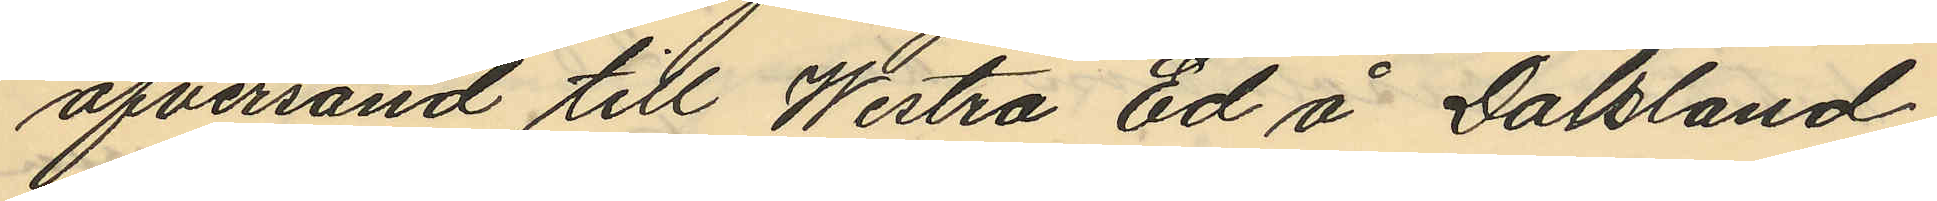öfversänd till Westra Ed å Dalsland
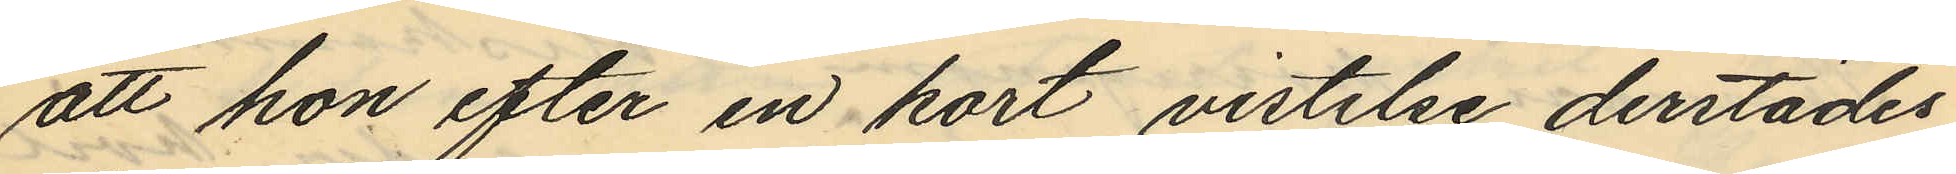att hon efter en kort vistelse derstädes
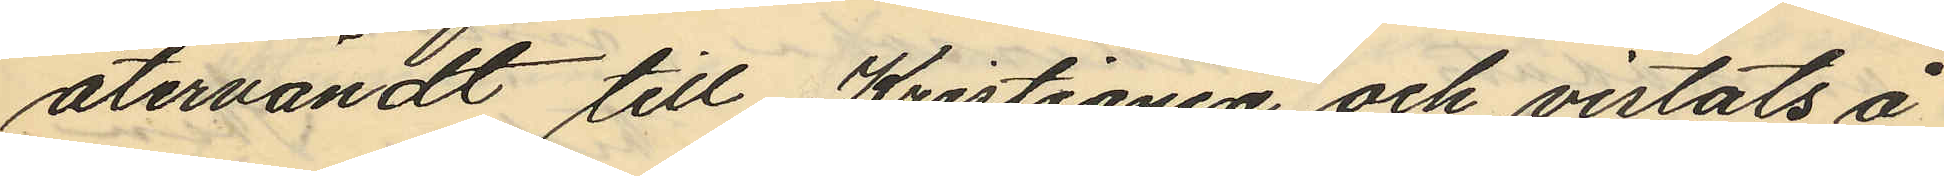återvändt till Kristiania och vistats å
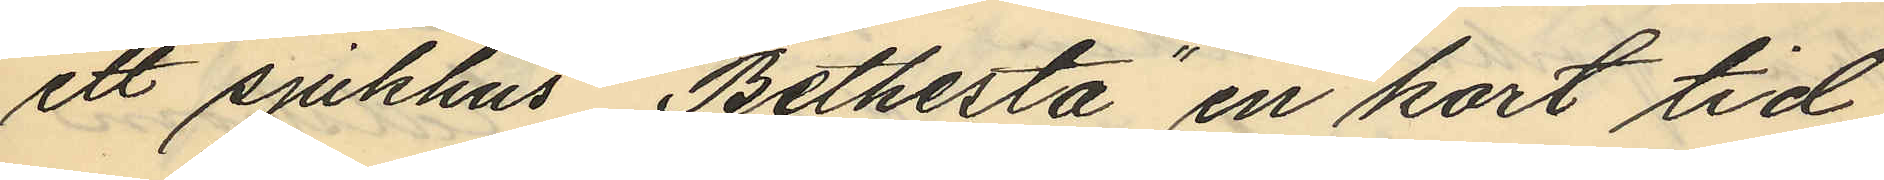ett sjukhus "Bethesta" en kort tid
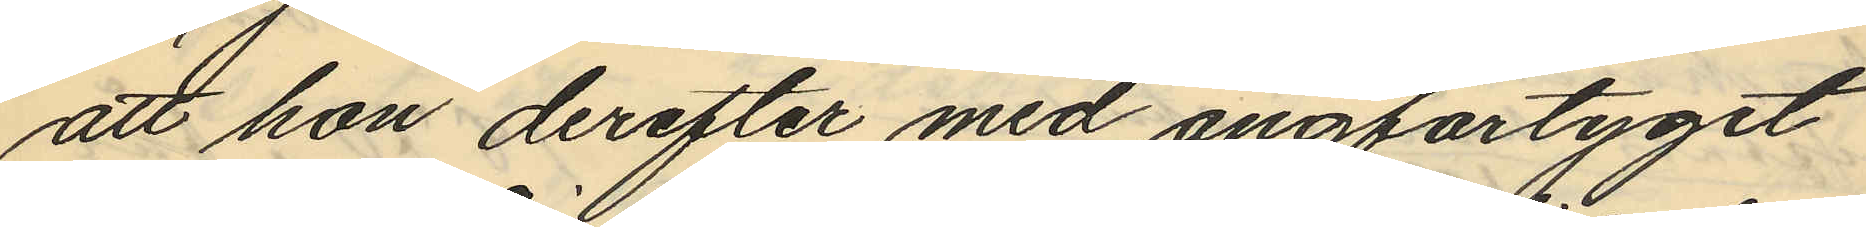att hon derefter med ångfartyget
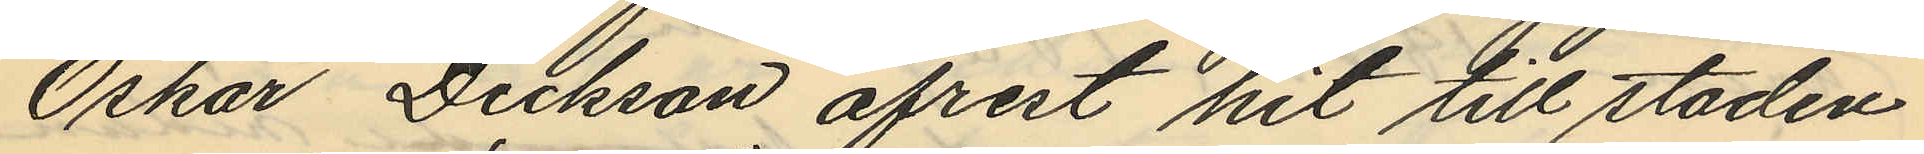Oskar Dickson afrest hit till staden
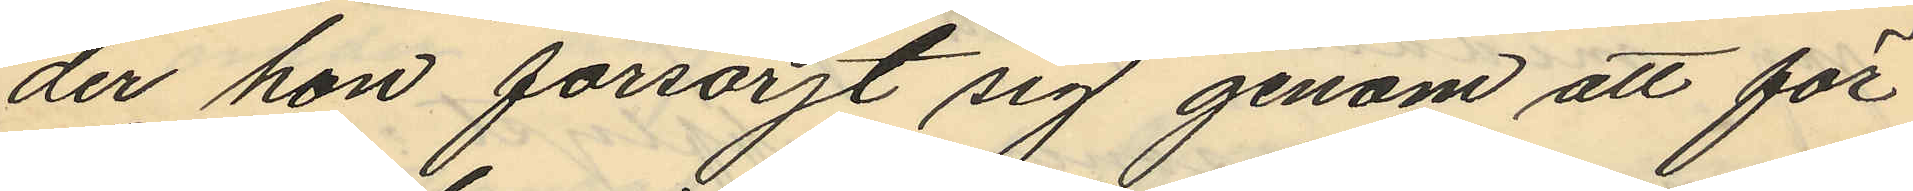der hon försörjt sig genom att för
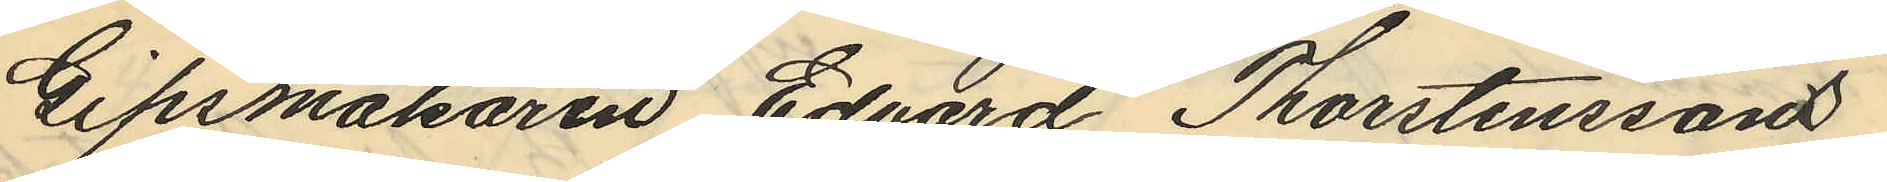Gipsmakaren Edvard Thorstenssons
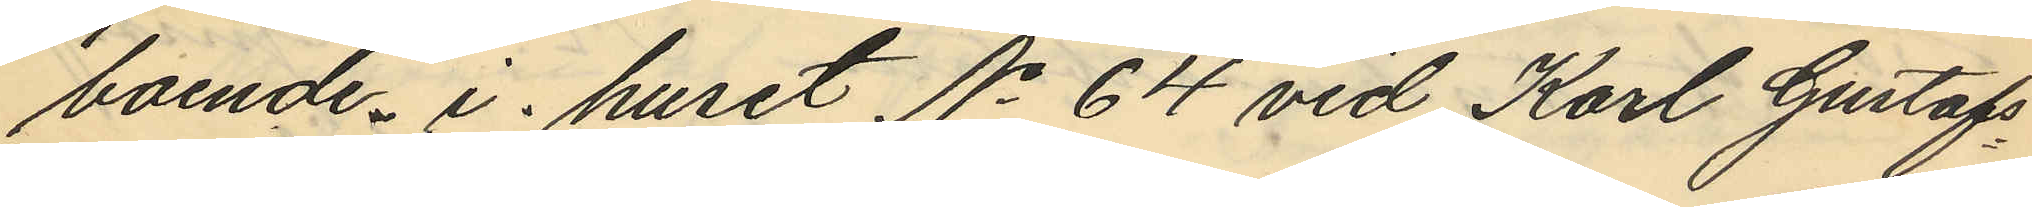boende i huset No 64 vid Karl Gustafs¬
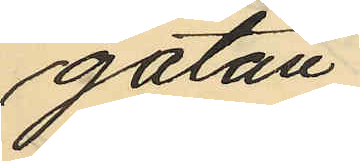gatan
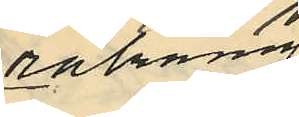räkning
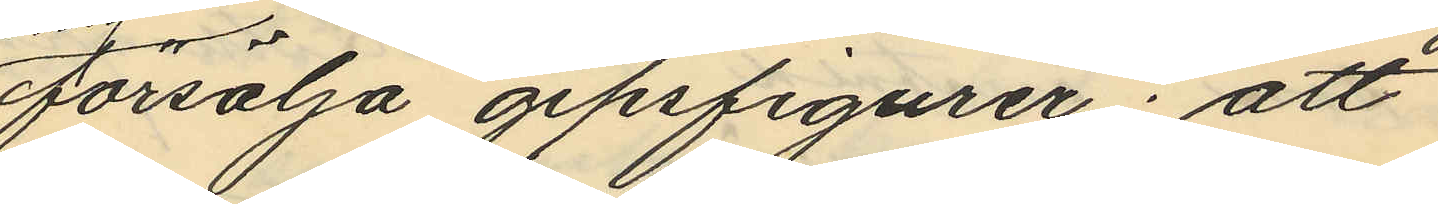försälja gipsfigurer; att
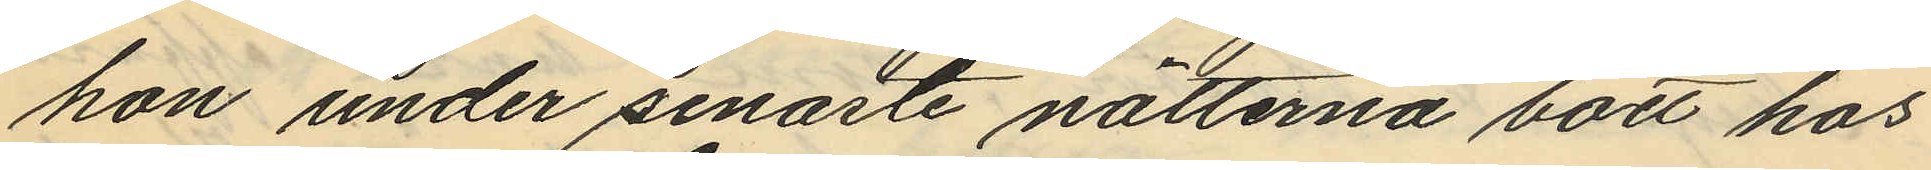hon under senaste nätterna bott hos
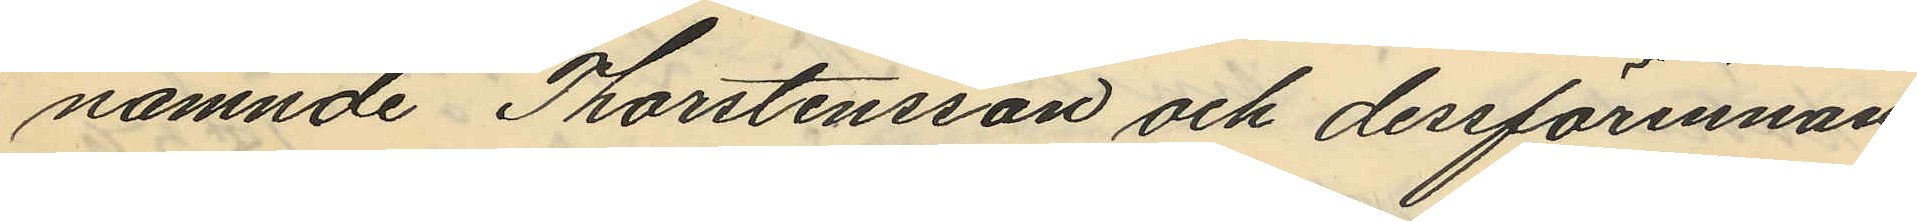nämnde Thorstensson och dersförinnan
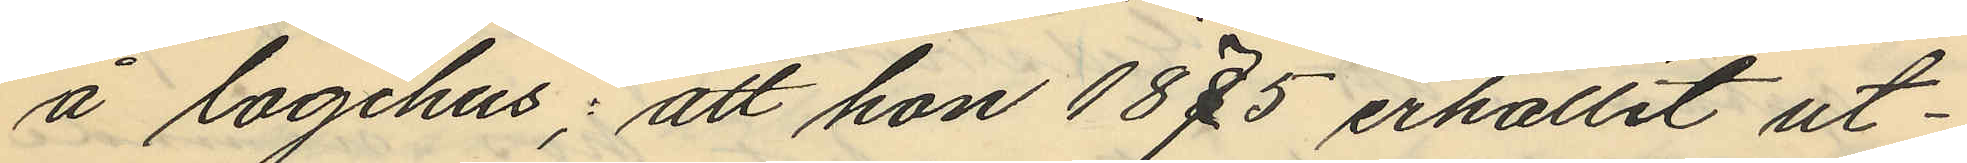å logihus; att hon 1875 erhållit ut¬
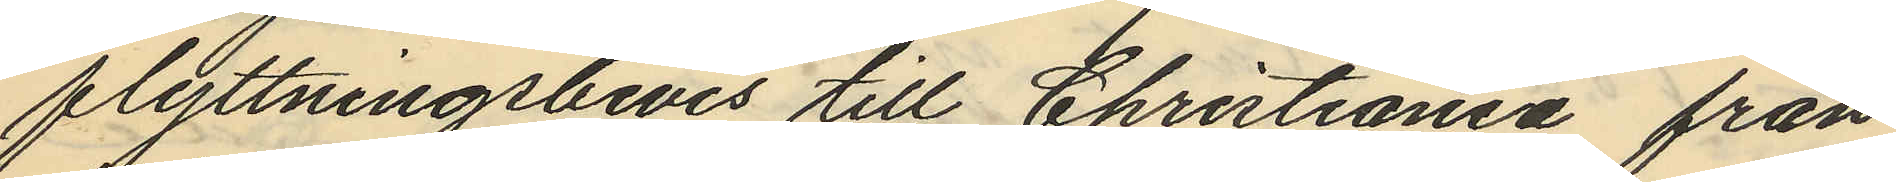flyttningsbevis till Christiania från
